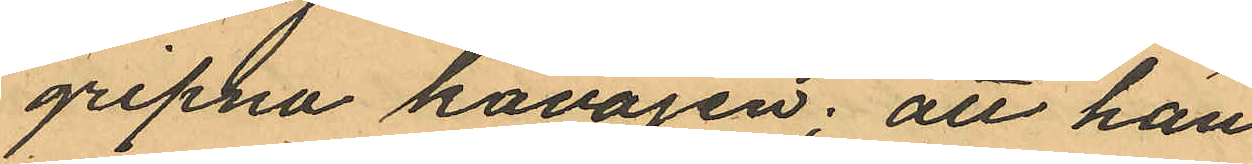gripna kavajen; att han
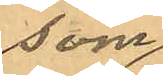som
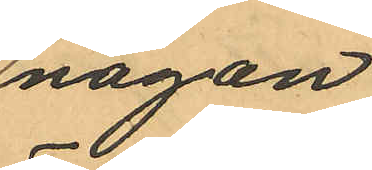någon
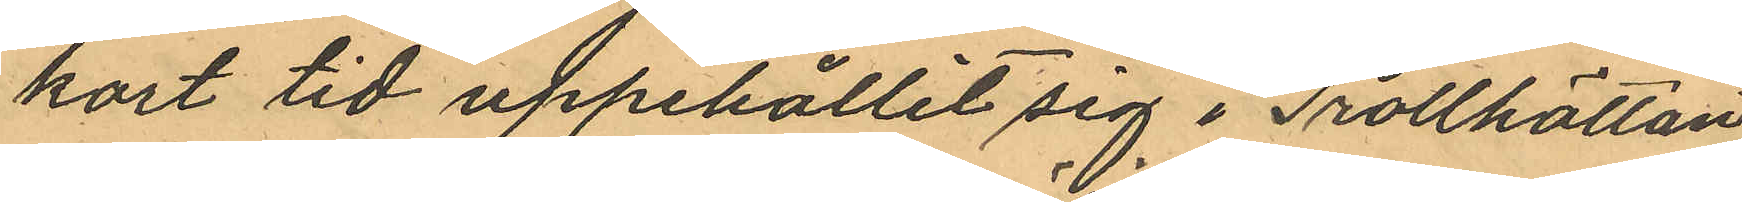kort tid uppehållit sig i Trotthättan
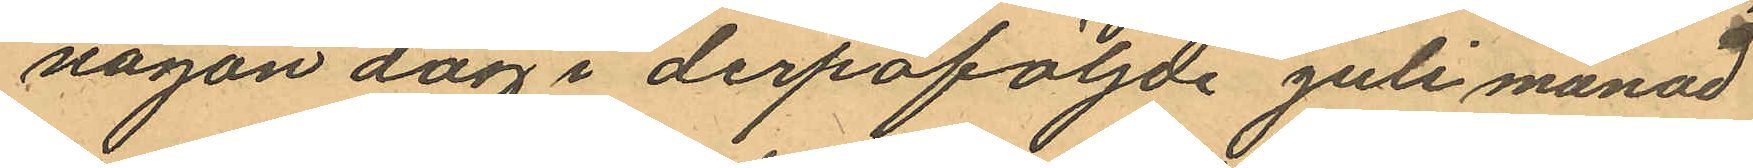någon dag i derpåföljde juli månad
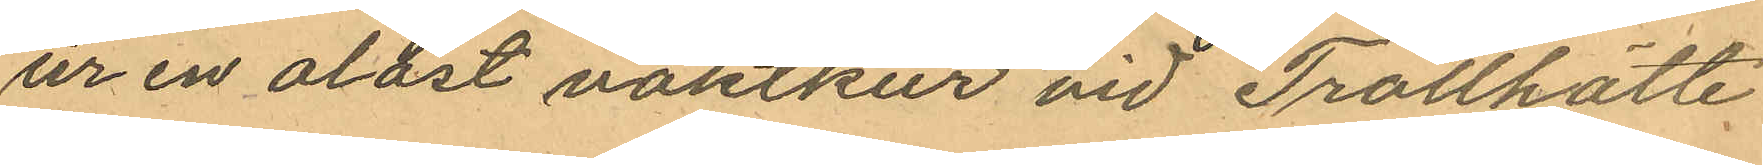ur en olåst vaktkur vid Trollhätte
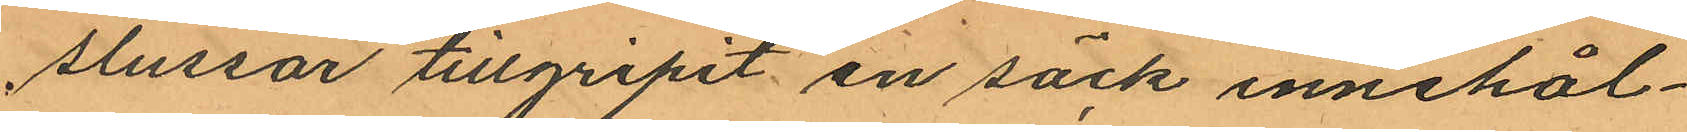slussar tillgripit en säck innehål¬
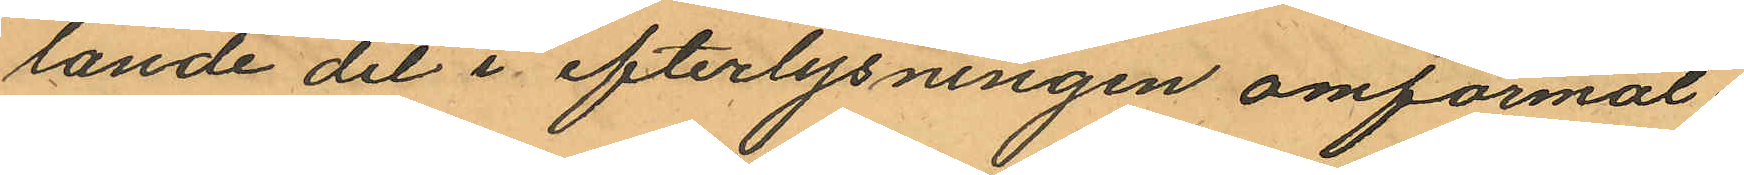lande det i efterlysningen omförmäl¬
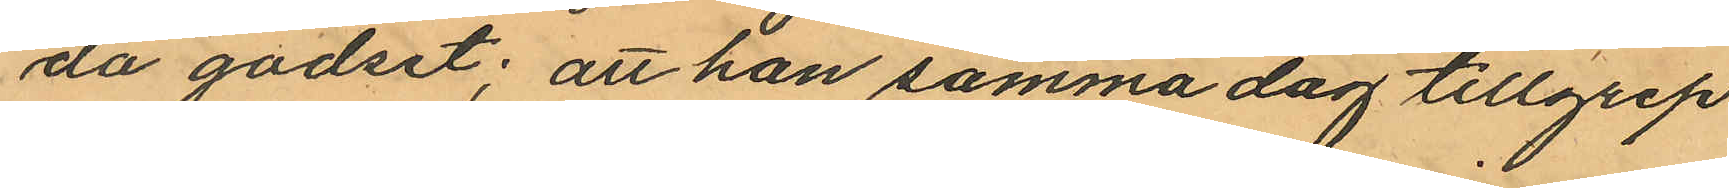da godset; att han samma dag tillgrep
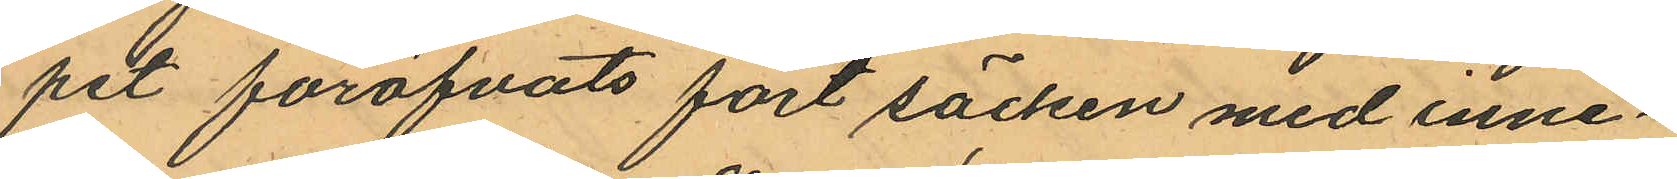pet föröfvats fört säcken med inne¬
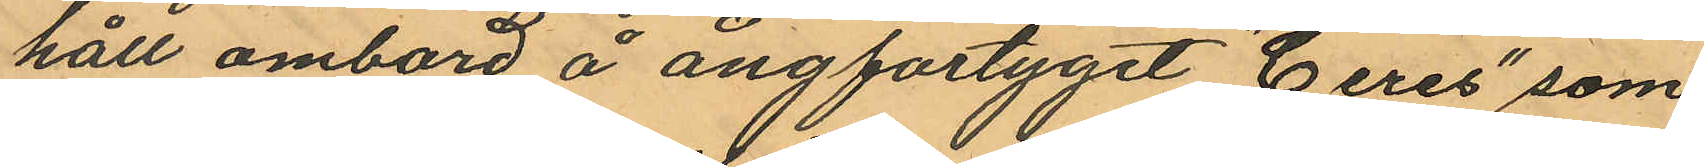håll ombord å ångfartyget "Ceres" som
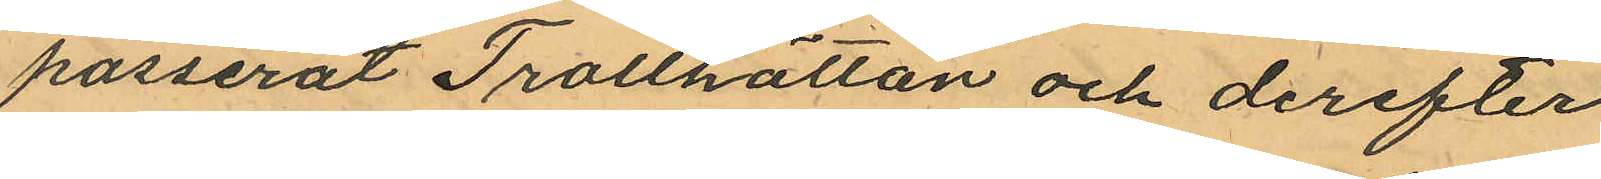passerat Trollhättan och derefter
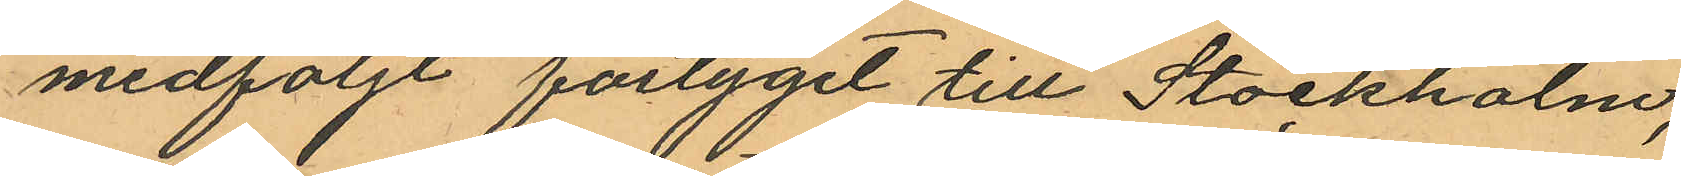medföljt fartyget till Stockholm;
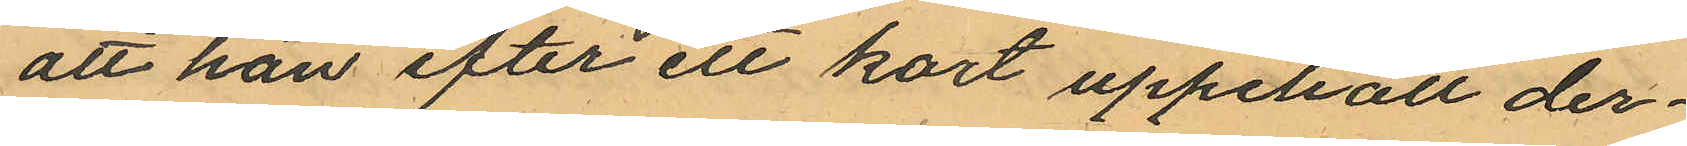att han efter ett kort uppehåll der¬
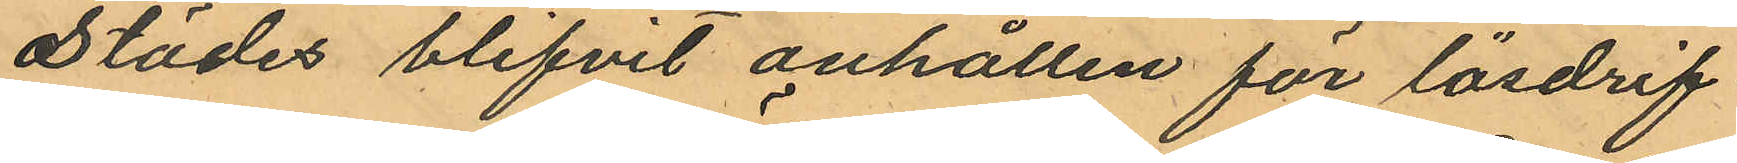städes blifvit anhållen för lösdrif
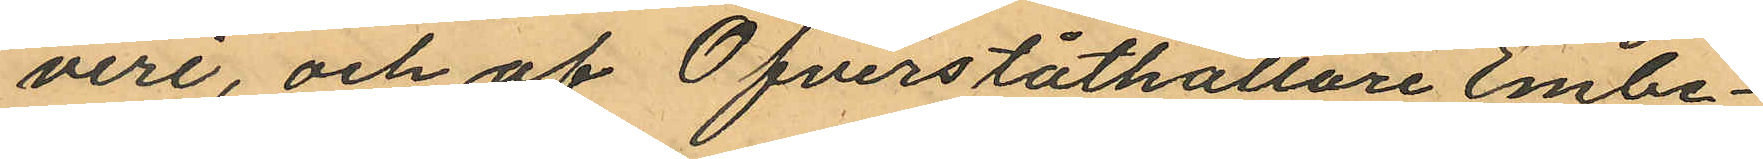veri, och af Öfverståthållare Embe¬
